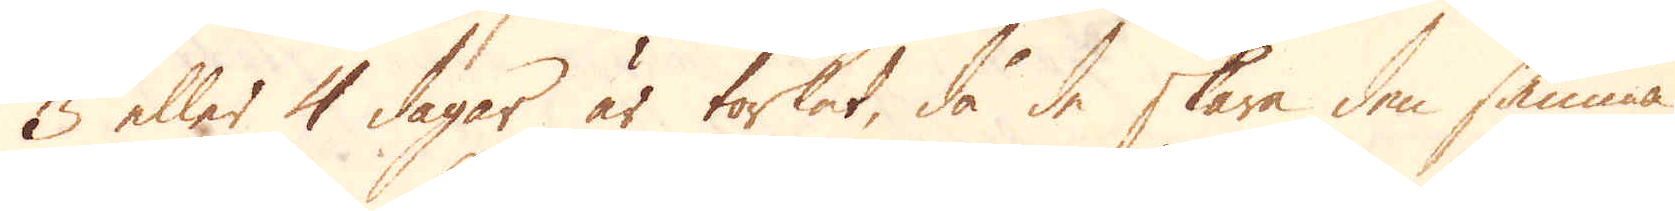3 eller 4 dagar är torkat, då de skära den samma
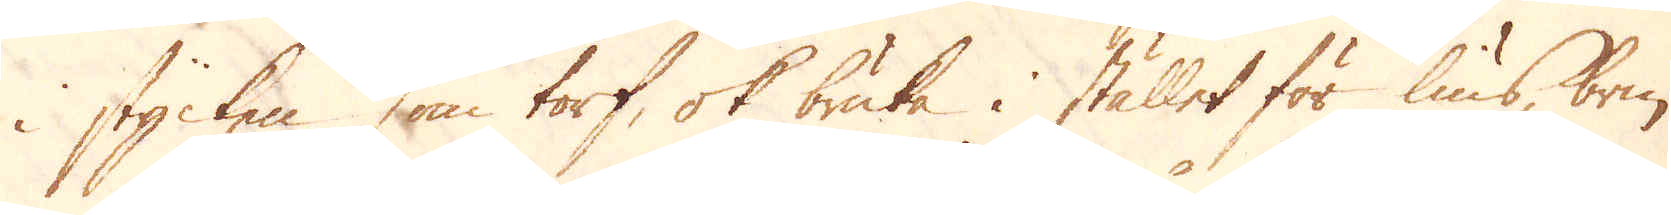i stycken som torf, ok bruka i stället för lius, brin-
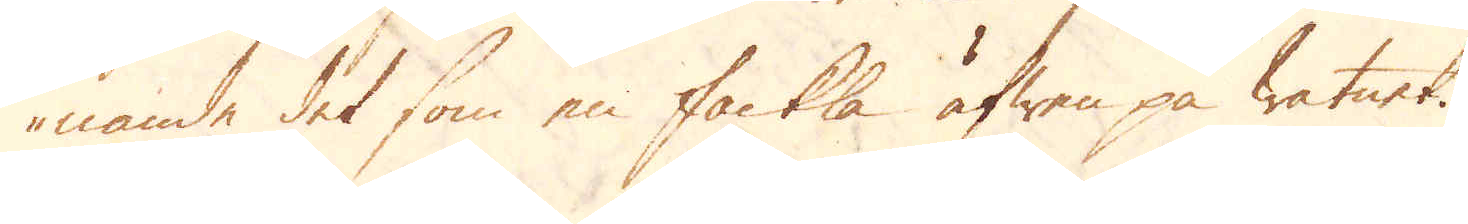nande det som en fackla äfwen på watnet.
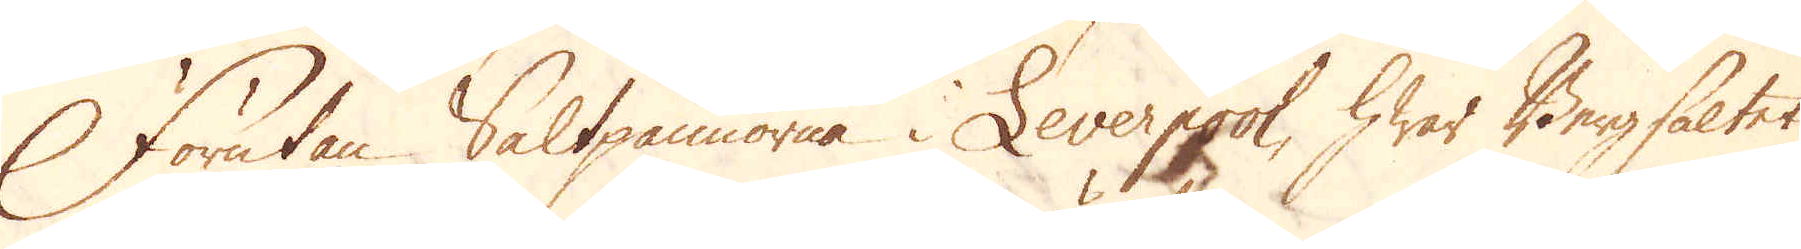Förutan Saltpannorna i Leverpool, hwar Bergsaltet
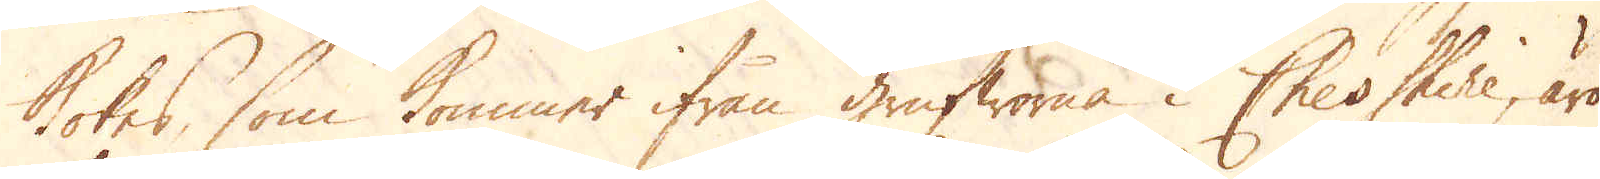Kokes, som kommer ifrån grufworna i Cheshire, äro
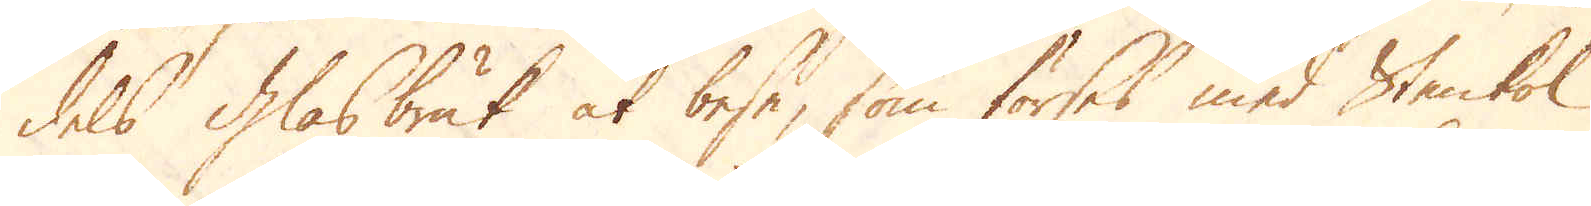dels Glasbruk at bese, som förses med Stenkol
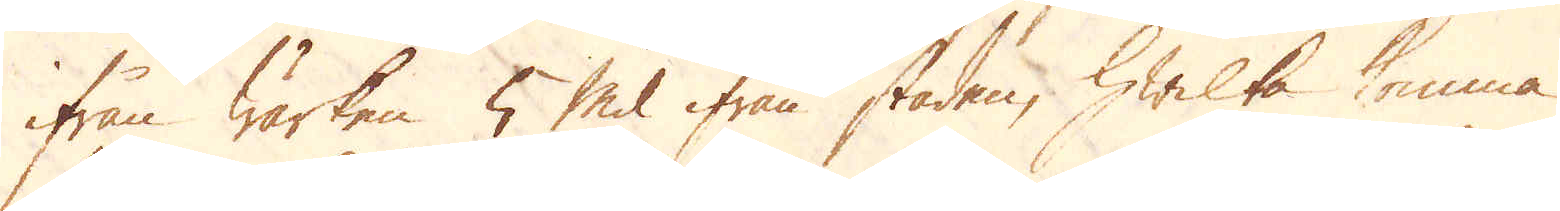ifrån wärken 5 Mil ifrån staden, hwilka komma
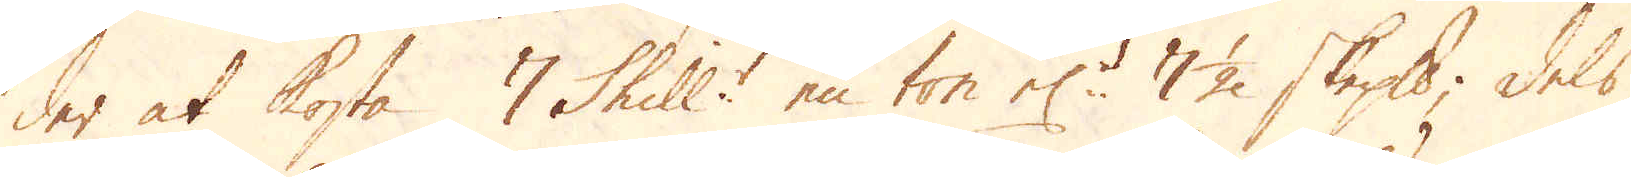der at kosta 7 Shill:r en ton el:r 7 1/2 skeppund; dels
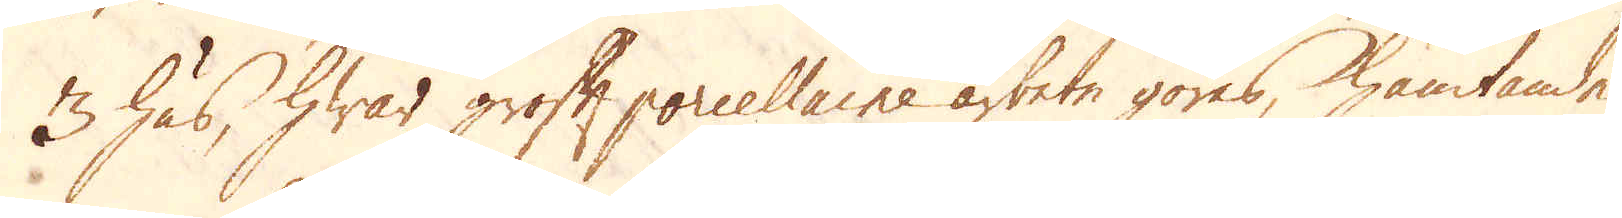3 hus, hwar groft porcellaine arbete göres, hämtande
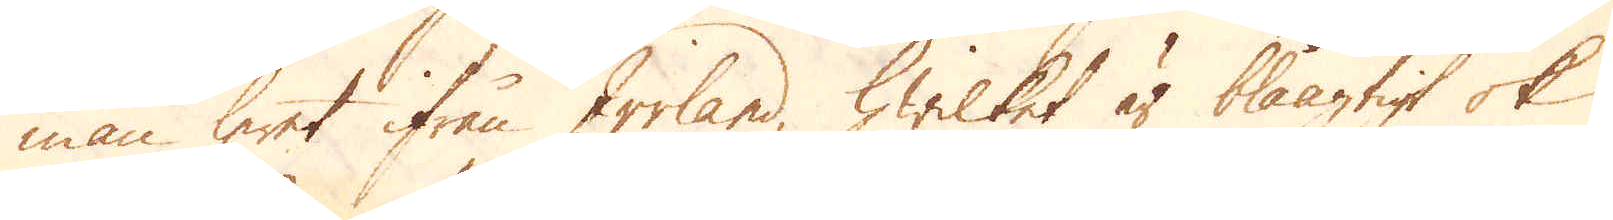man leret ifrån Irrland, hwiket är blåagtigt ok
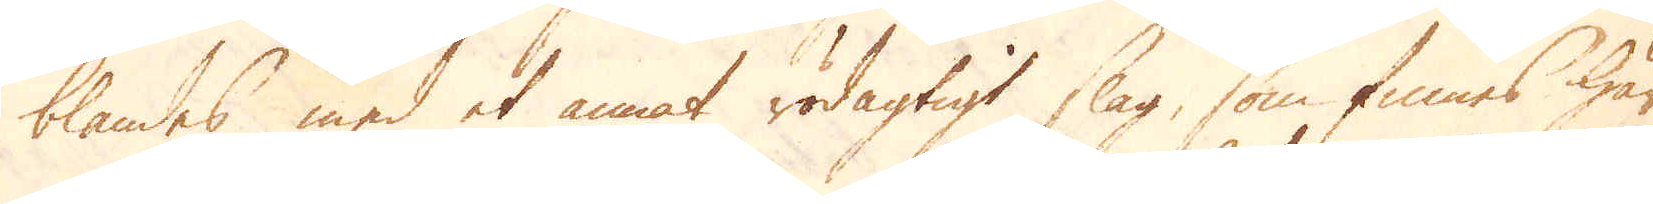blandas med et annat rödagtigt slag, som finnes här
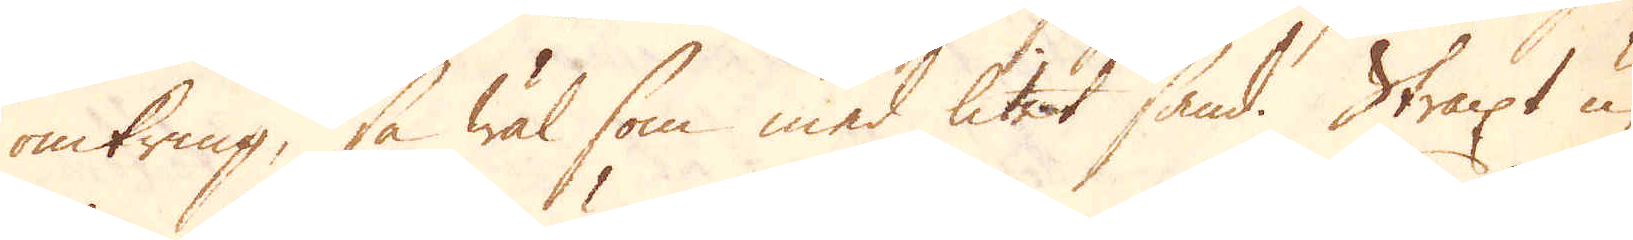omkring, så wäl som med litet sand. Straxt u-
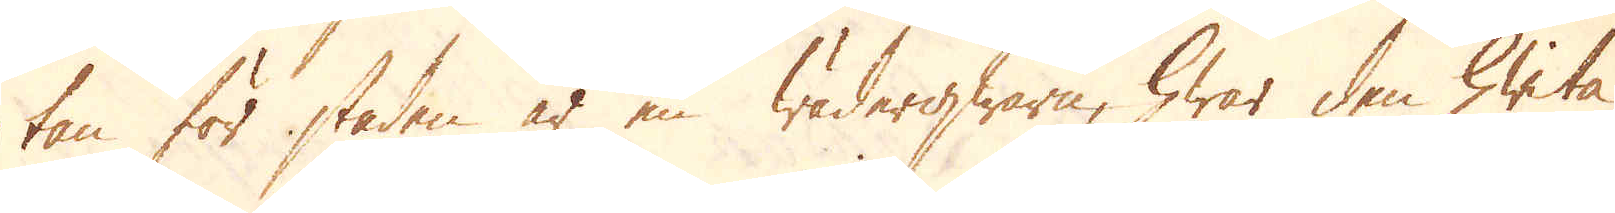tan för staden är en wäderqwarn, hwar den hwita
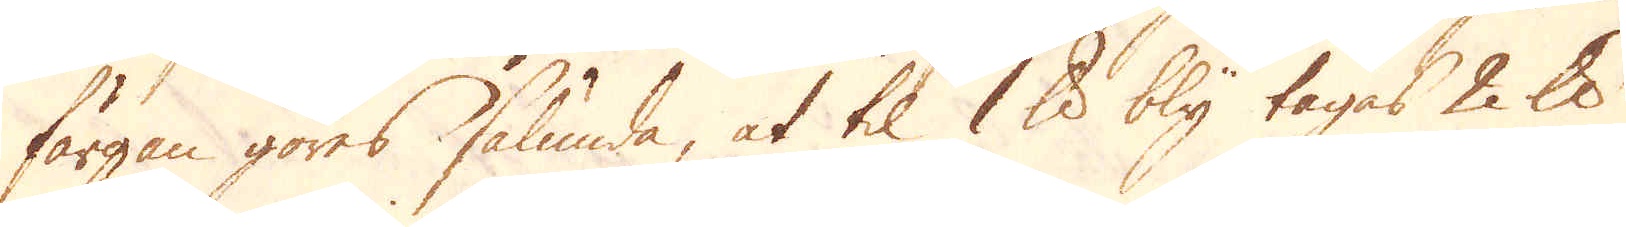färgen göres sålunda, at til 1 skålpund bly tagas 2 skålpund
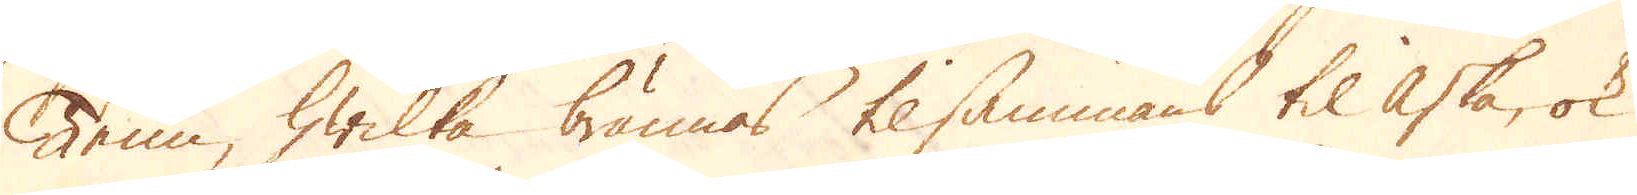Tenn, hwilka brännas tilsammans til aska, ok
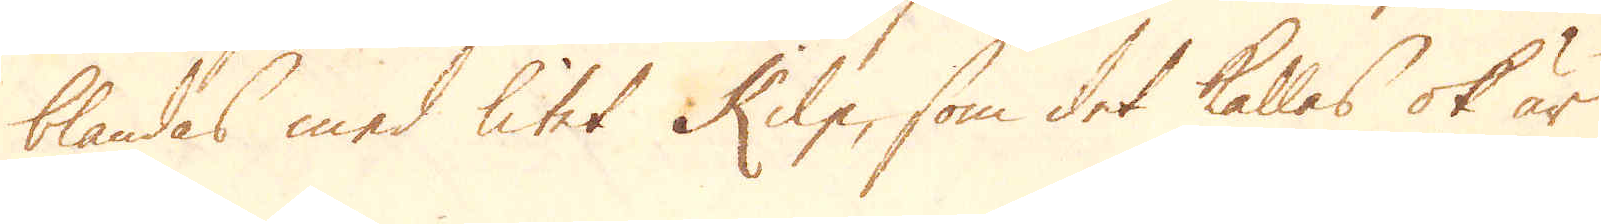blandas med litet Kilp, som det kallas ok är
